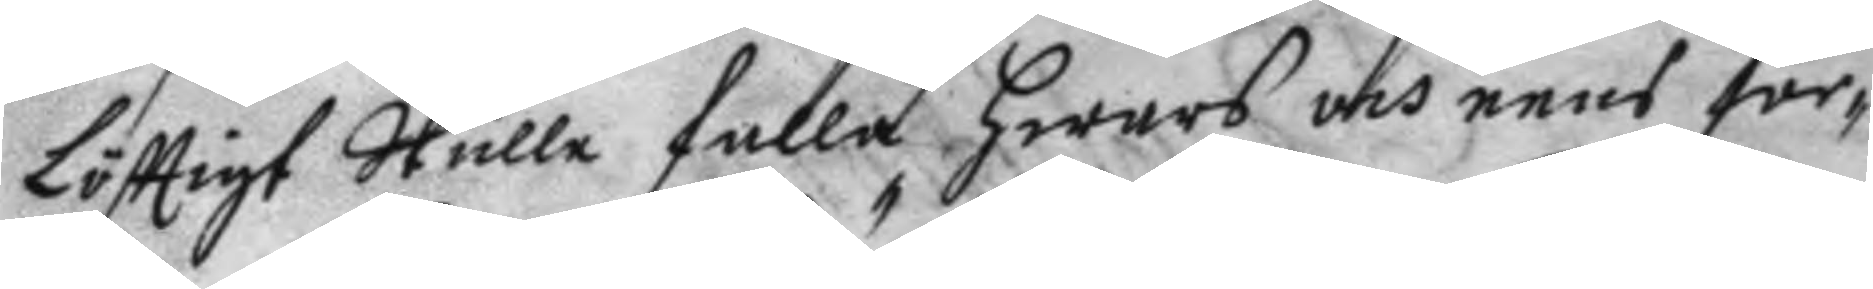löfttigt Skulle falla hwars och eens for¬
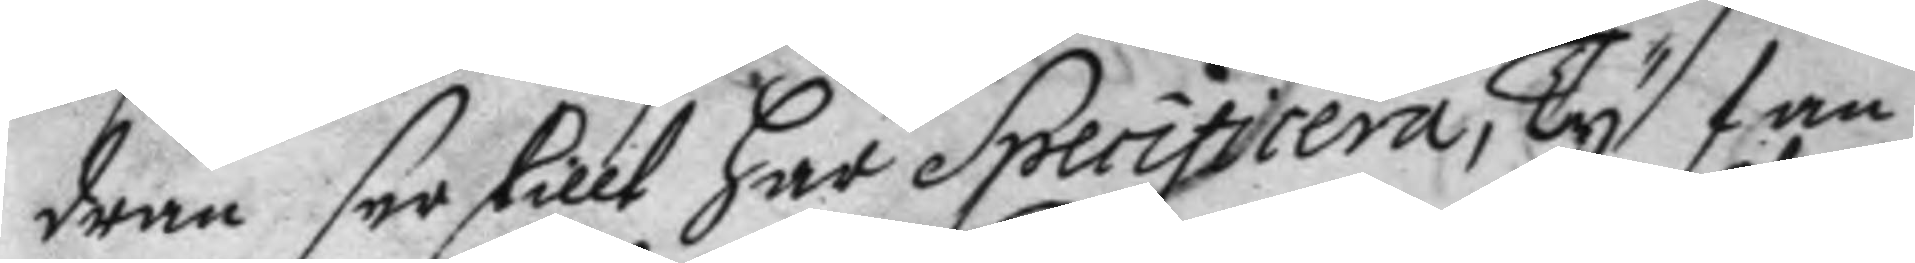dran serskillt har Specificera, Ty fan
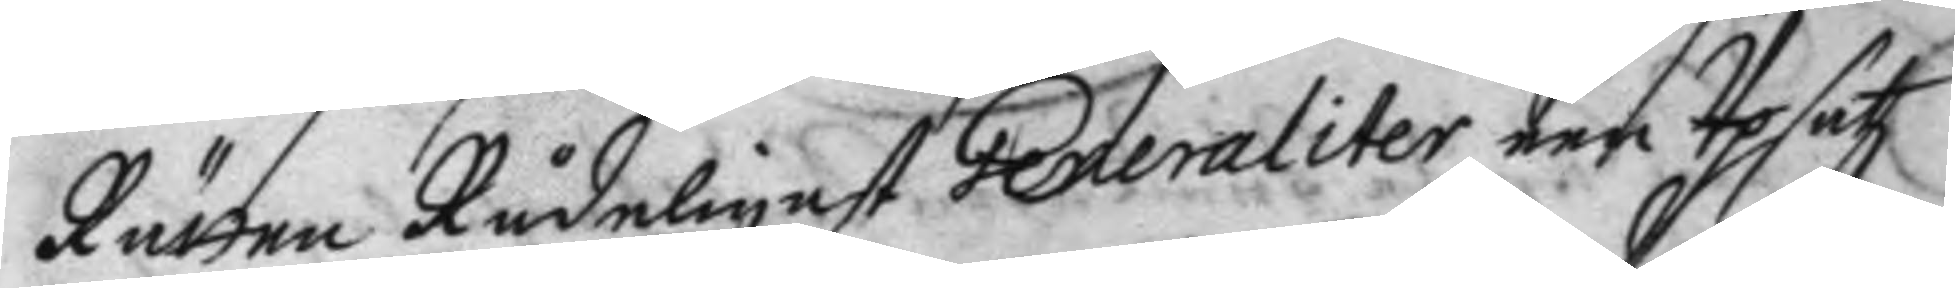Rätten Rådeligast Peneraliter een Upsatz
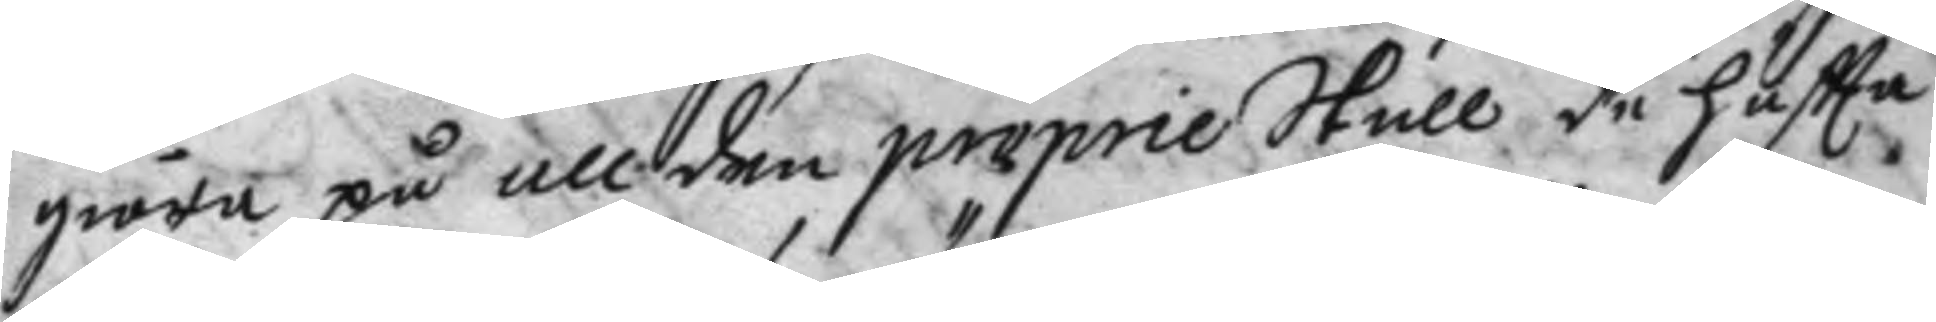giöra på all den proprie Skull de häftta
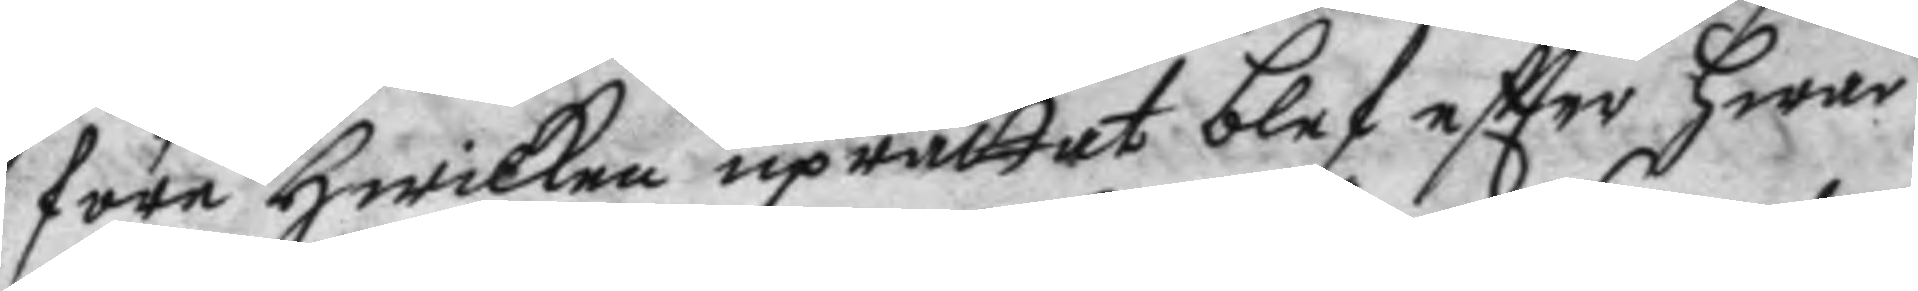före hwilcken uprättat blef eftter hwar
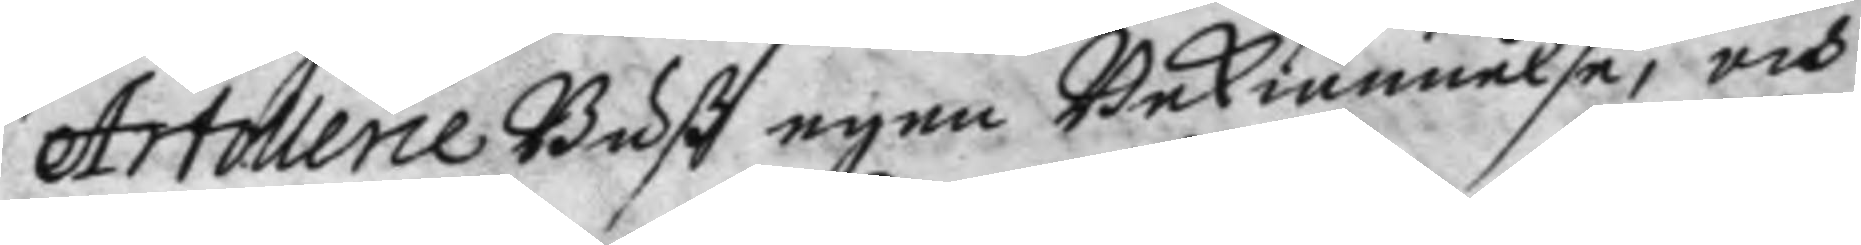Artollerie Biß egen Bekiännelse, och
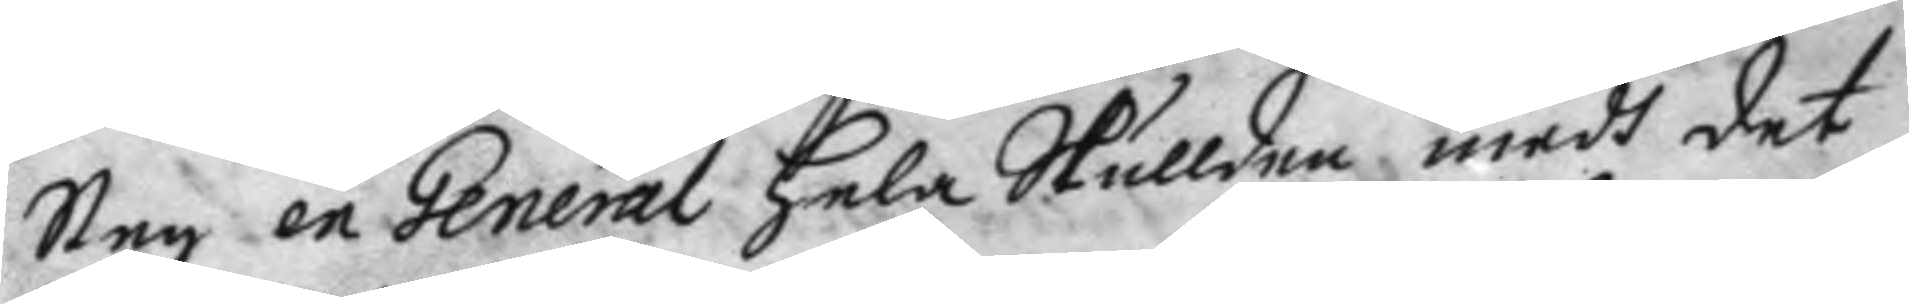Steg en General hela Skullden medh det
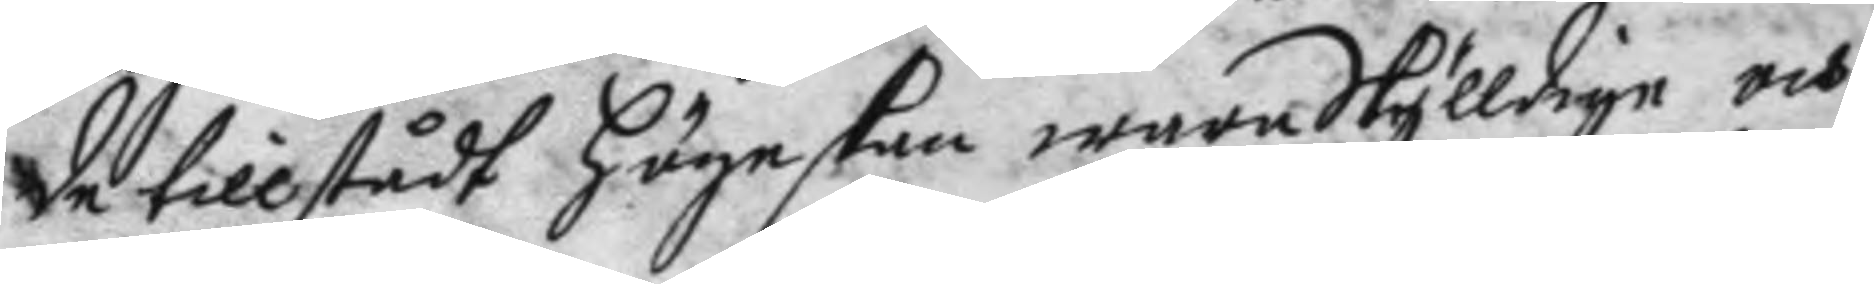de tillstådt högeskan wara Skylldige och
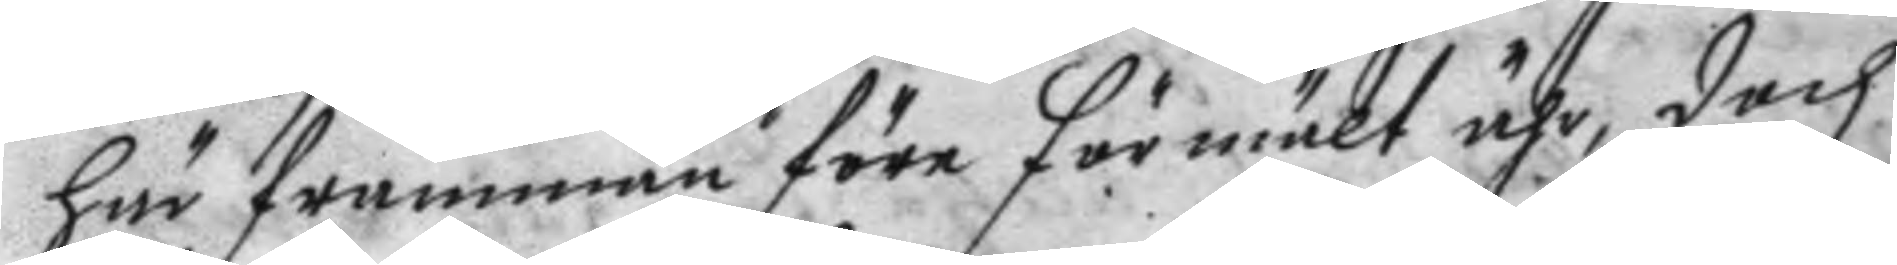här framman före förmält ähr, doch
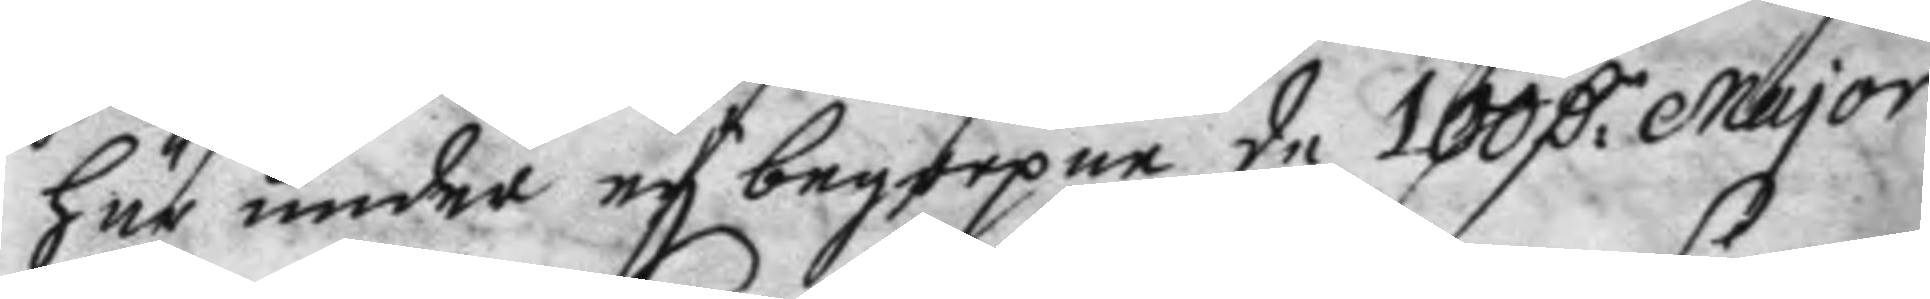här under ey begrepne de 100 D:r major
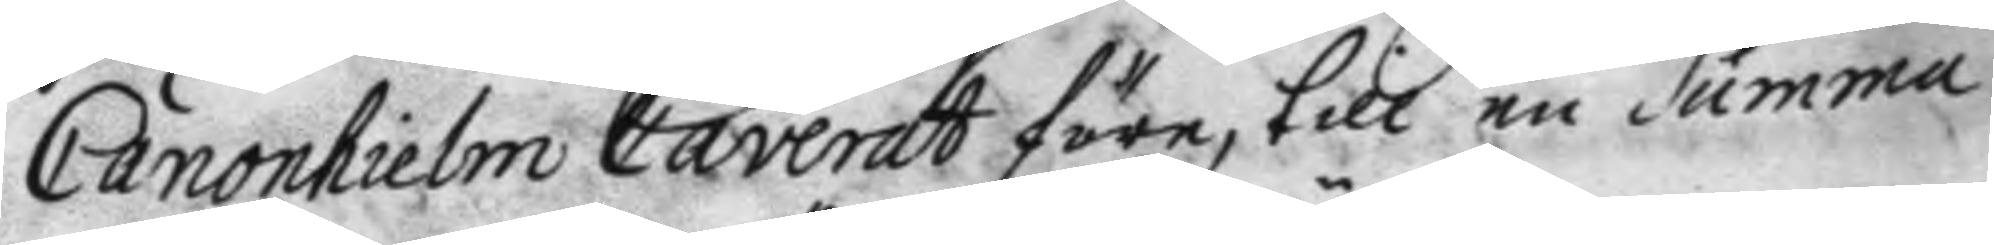Canonhielm Caverat före, till en Summa
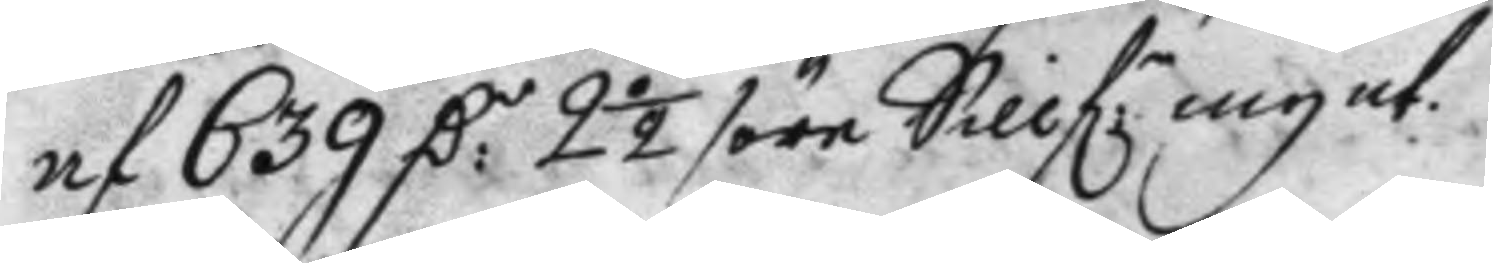af 639 D:r 2½ /öre Sillf:r mynt.
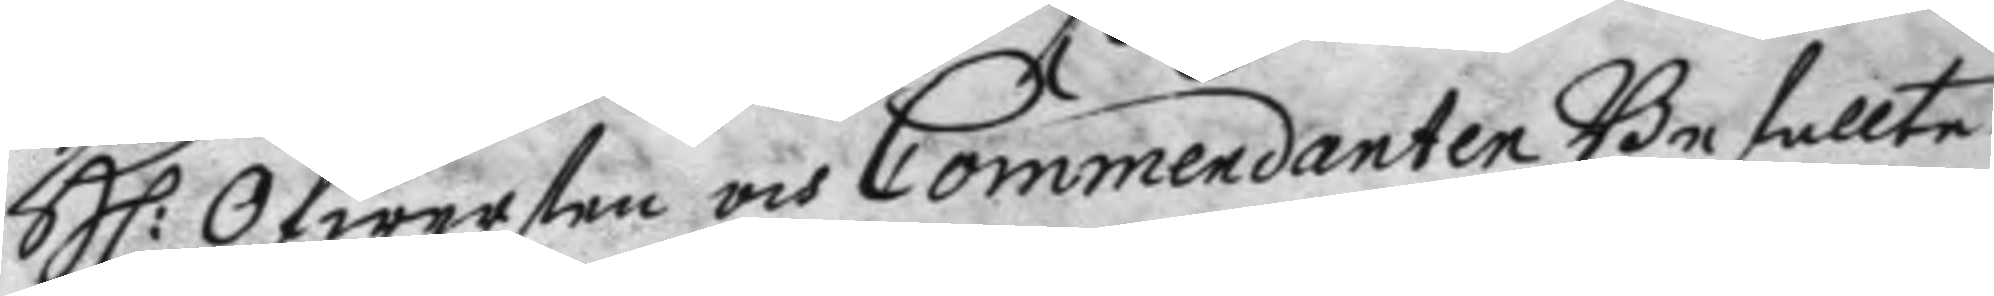H: Öfwersten och Commendanten Befallte
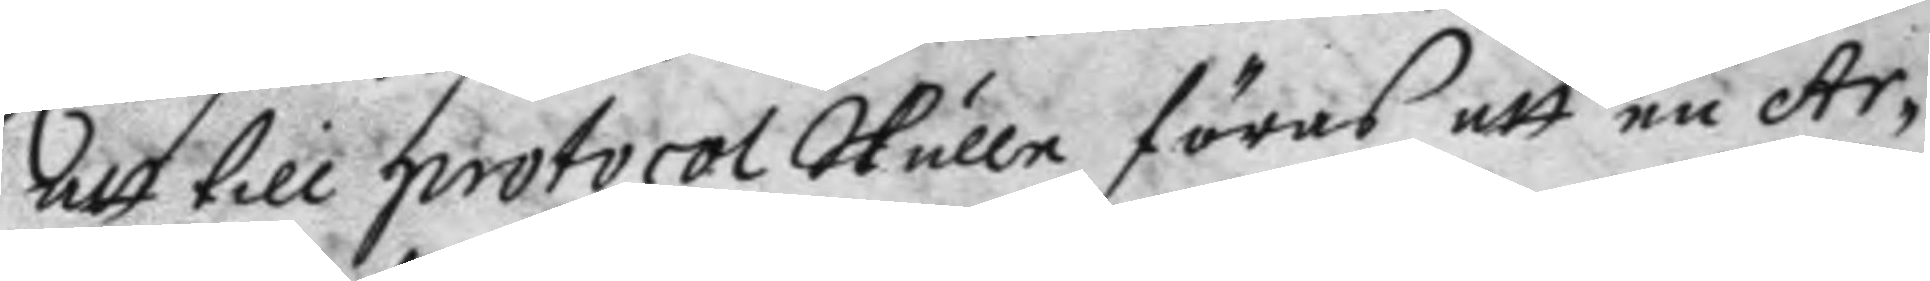att till protocol Skulle föras att en Ar¬
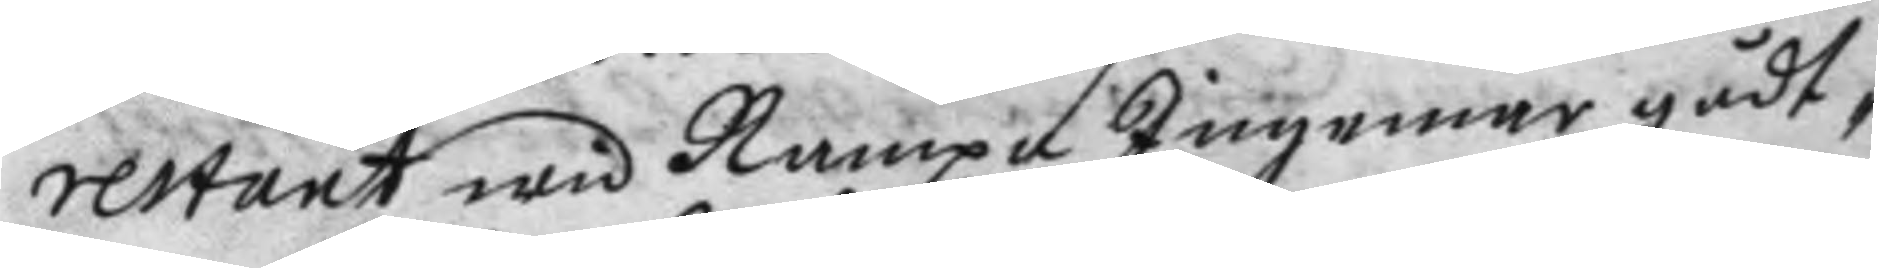restant wid Nampn Ingemar gådt¬
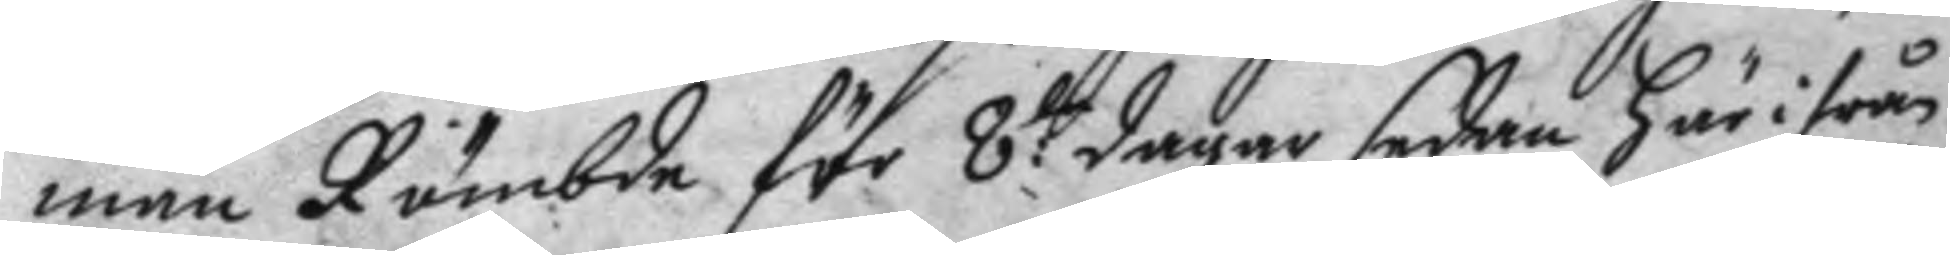man Römde för 8:ta dagar sedan här ifrån
